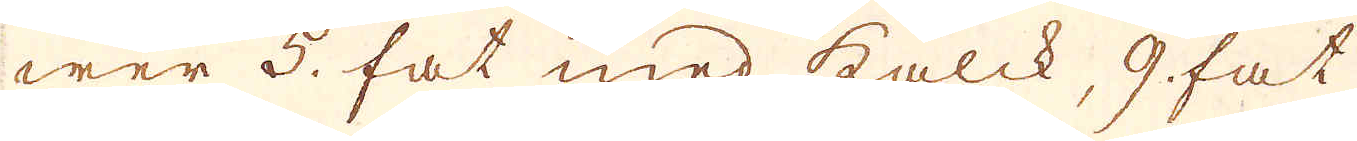wer 5. fat med kalck, 9 fat
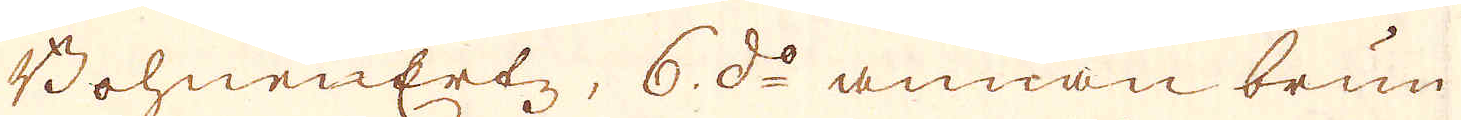BohnErtz, 6. d:o annan brun
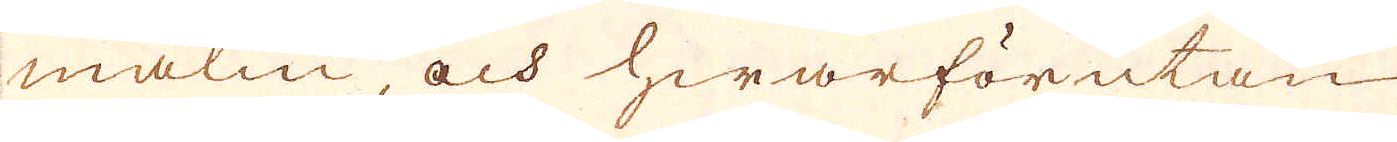malm, och hwarförutan
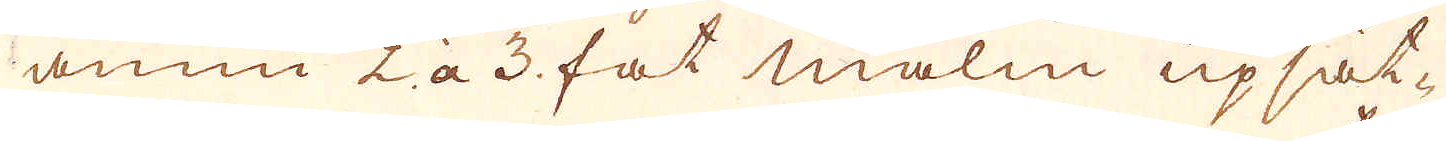ännu 2 à 3 fat malm upsät-
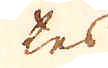tes
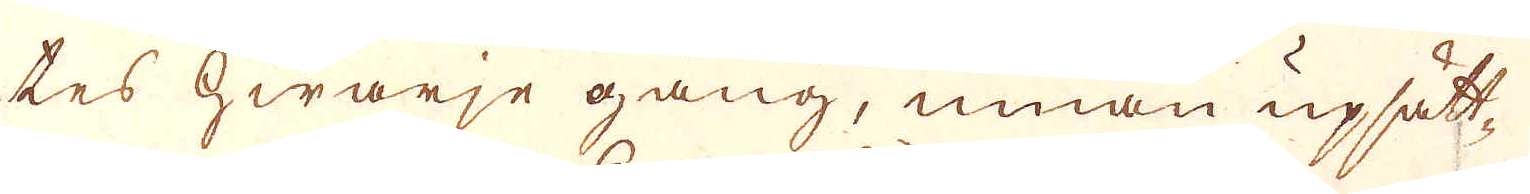tes hwarje gång, innan upsätt-
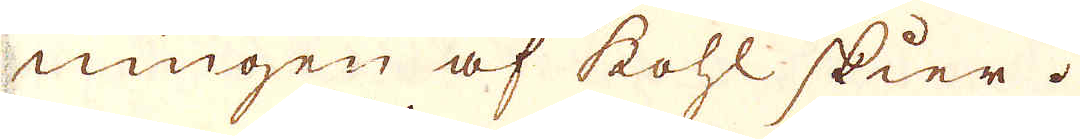ningen af kohl skier.
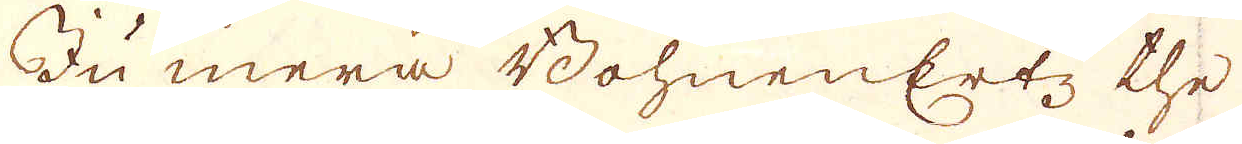Ju mera Bohnenertz the
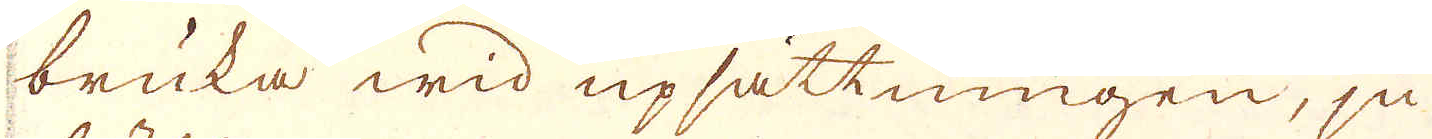bruka wid upsättningen, ju
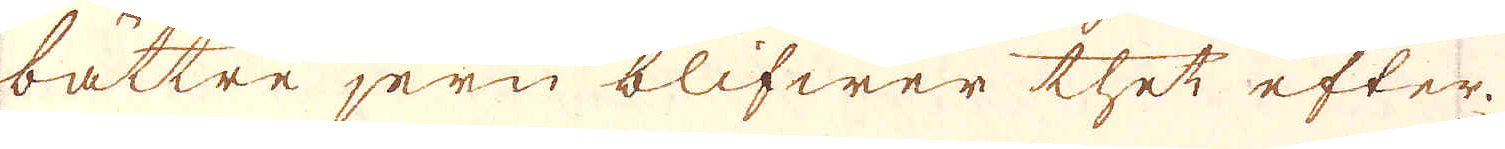bättre jern blifwer thet efter
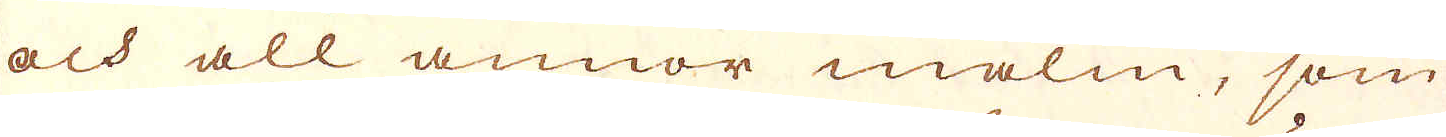och all annor malm, som
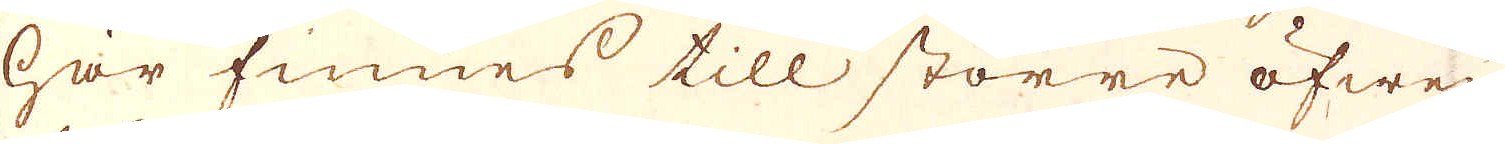här finnes till större öfwer-
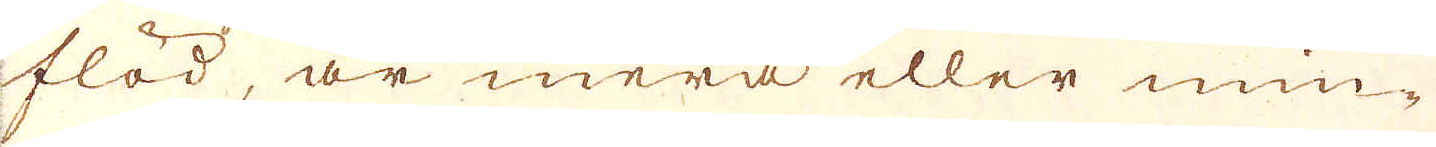flöd, är mera eller min-
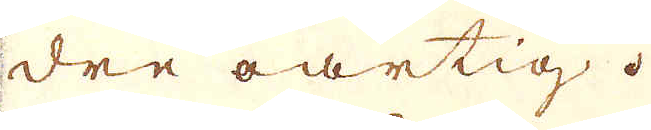dre oartig.
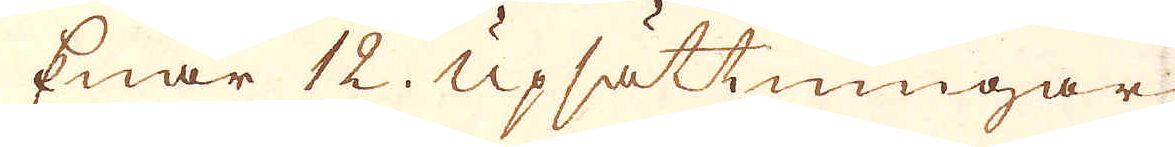Enär 12. Upsättningar
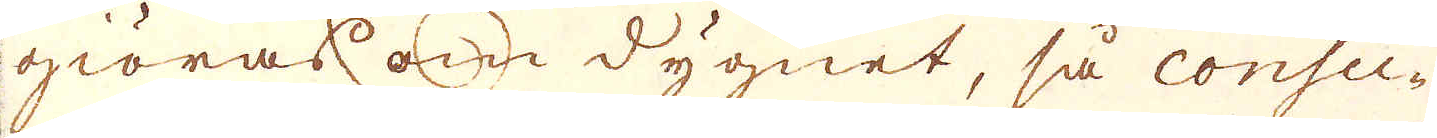giöras om dygnet, så consu-
